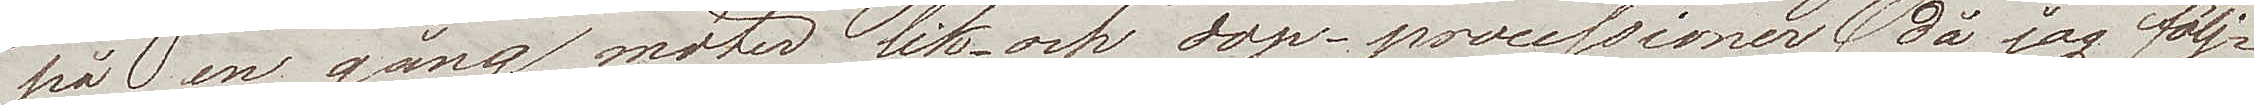på en gång möter lik- och dop-processioner (då jag följ¬
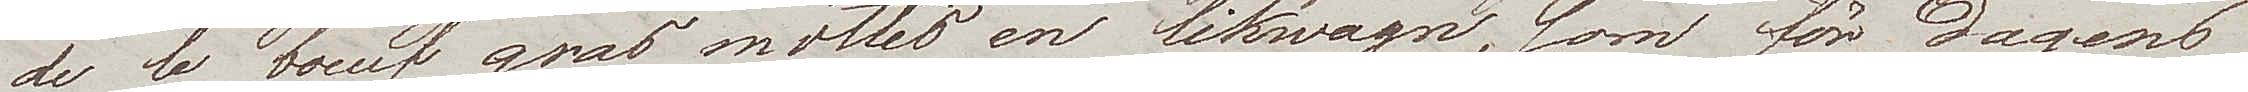de le boeuf gras möttes en likwagn, som för dagens
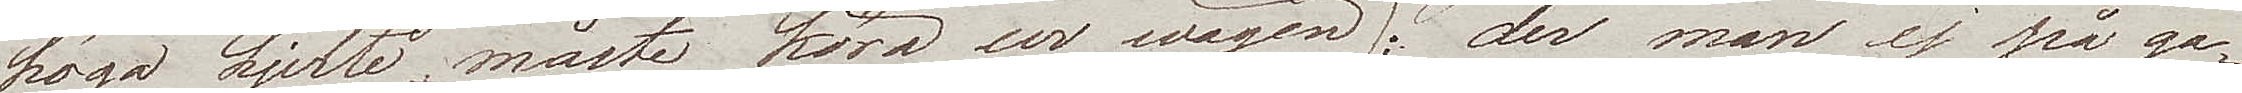höga hjelte måste köra ur wägen); der man ej på ga¬
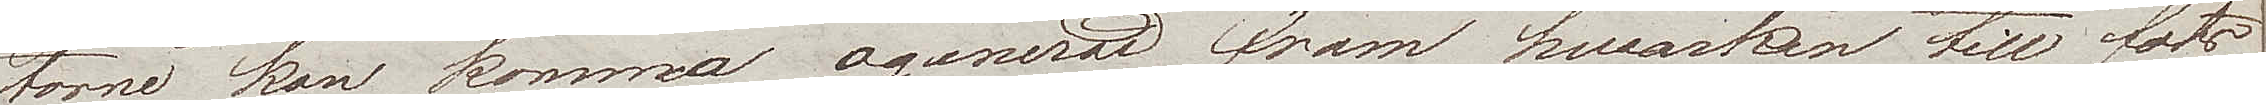torne kan komma ogenerad fram hwarken till fots
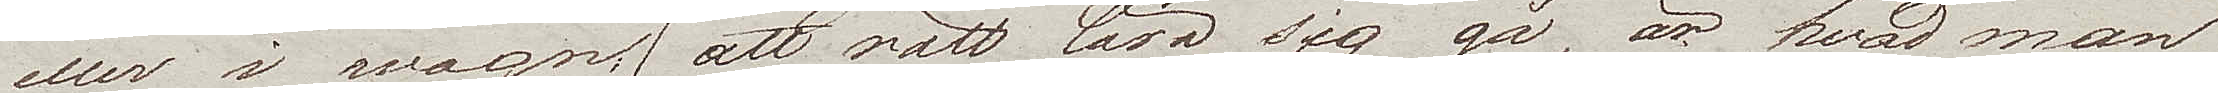eller i wagn; (att rätt lära sig gå, är hvad man
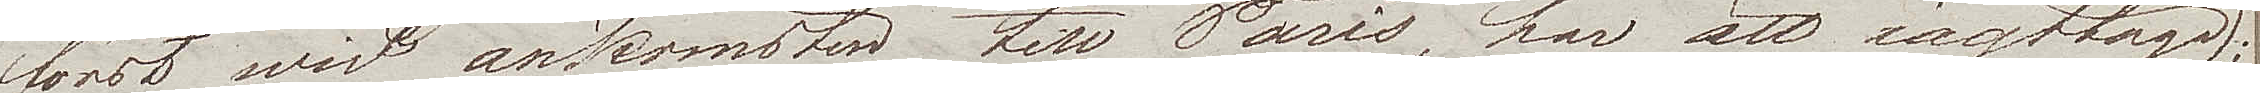först wid ankomsten till Paris, har att iagttaga);
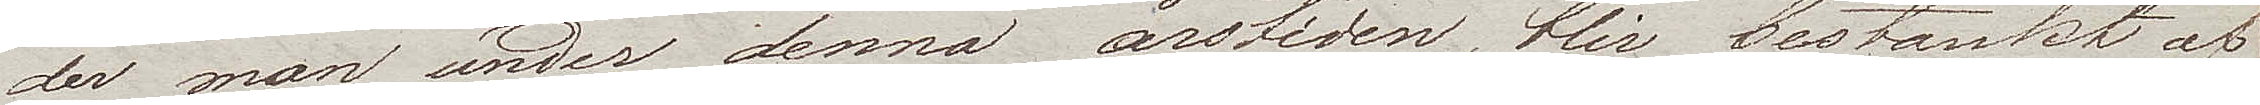der man under denna årstiden, blir bestänkt af
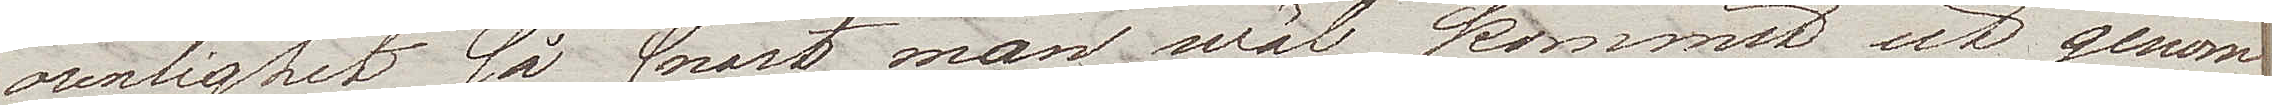orenlighet så snart man wäl kommit ut genom
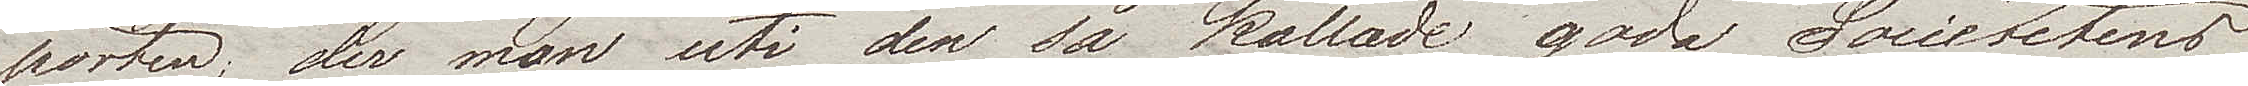porten; der man uti den så kallade goda Societetens
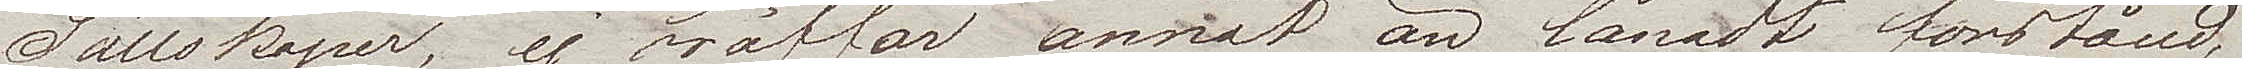Sällskaper, ej träffar annat än lånadt förstånd. 
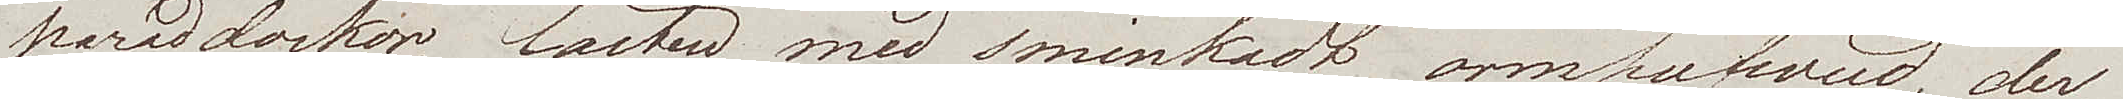paraddockor, lasten med sminkadt ormhufvud, der
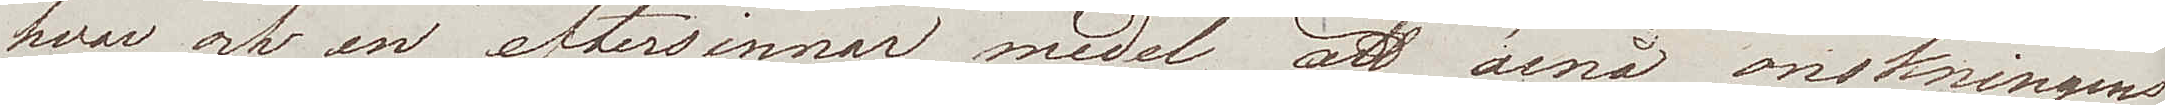hvar och en eftersinnar medel, att ärnå önskningens
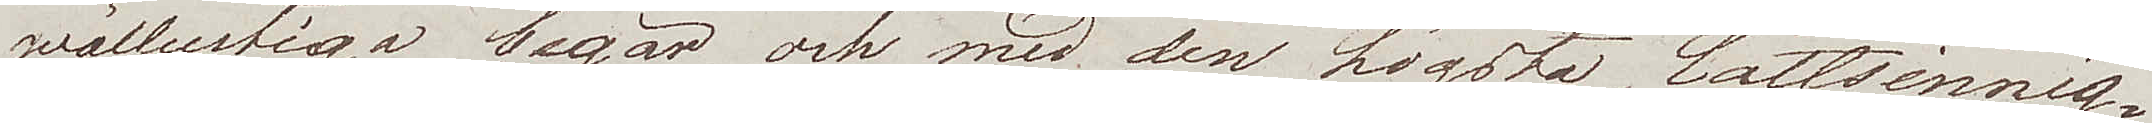wällustiga begär, och med den högsta lättsinnig¬
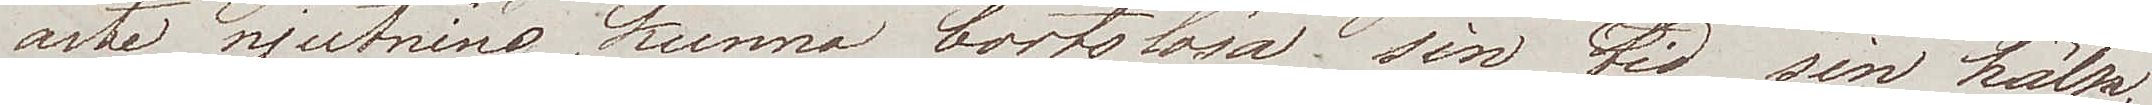aste njutning, kunna bortslösa sin tid, sin hälsa,
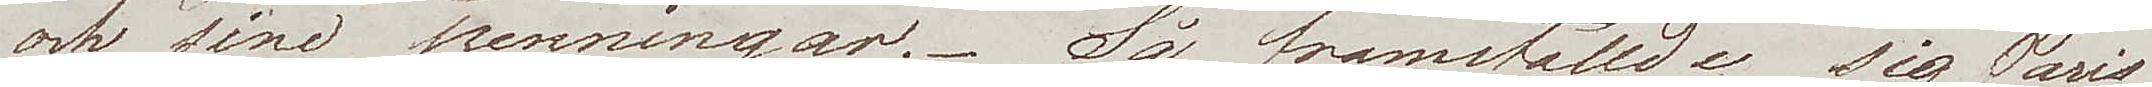och sina penningar. Så framställde sig Paris
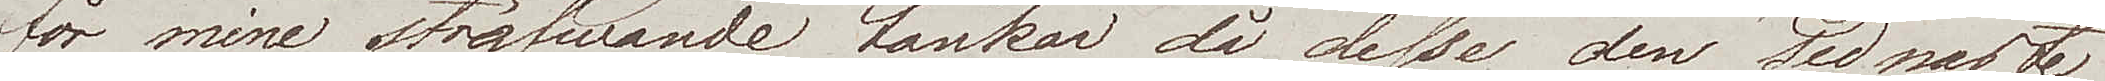för mine ströfwande tankar då desse den sednaste
